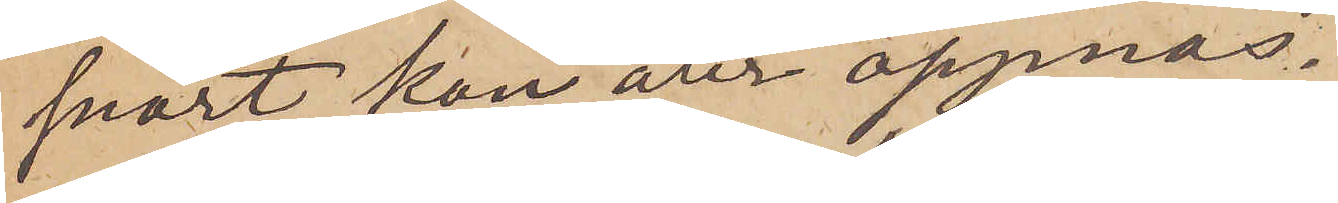snart kan åter öppnas.
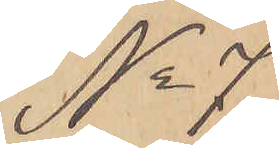Göteborg den 11 Februari 1881.
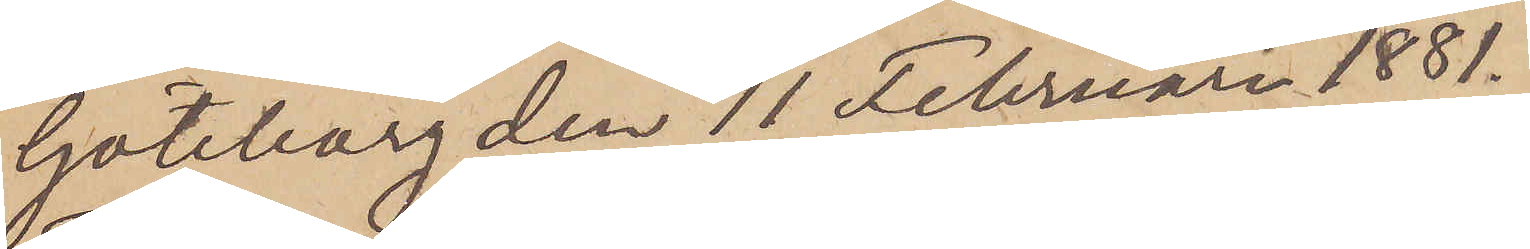No 7
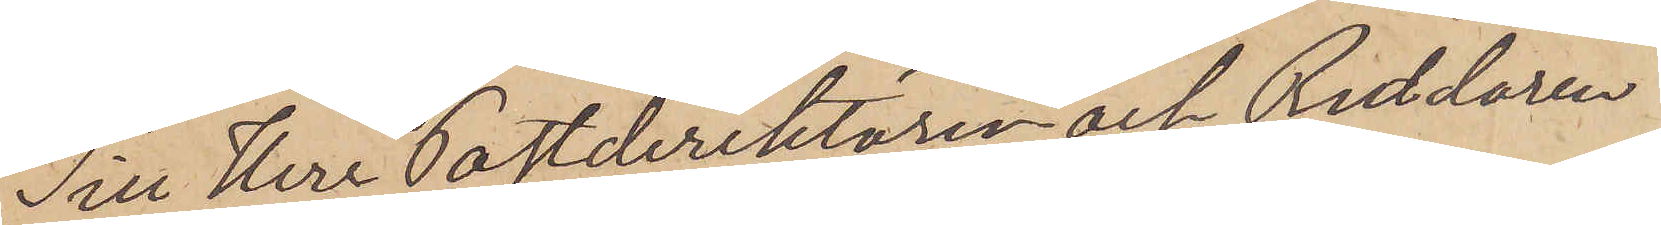Till Herr Postdirektören och Riddaren
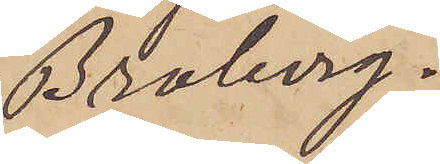 Broberg.
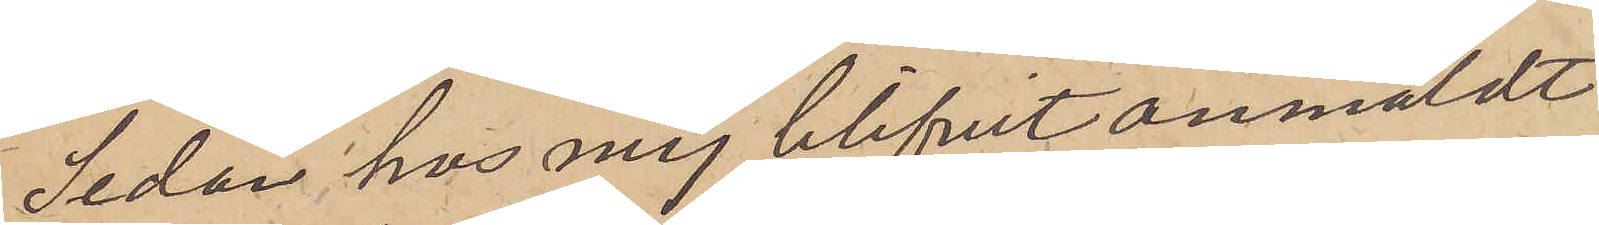Sedan hos mig blifvit anmäldt
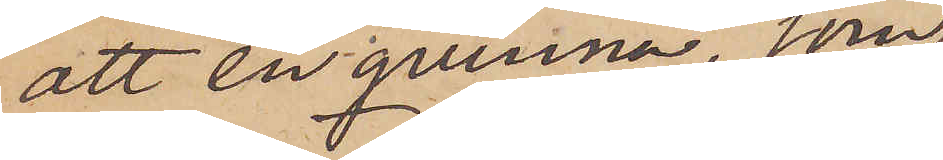att en qvinna, som
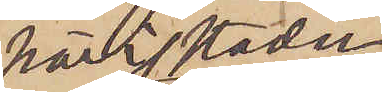här i staden
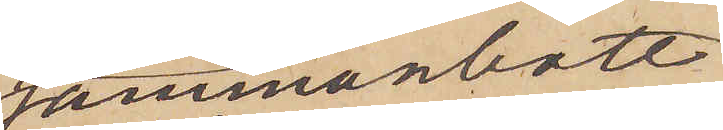sammanbott
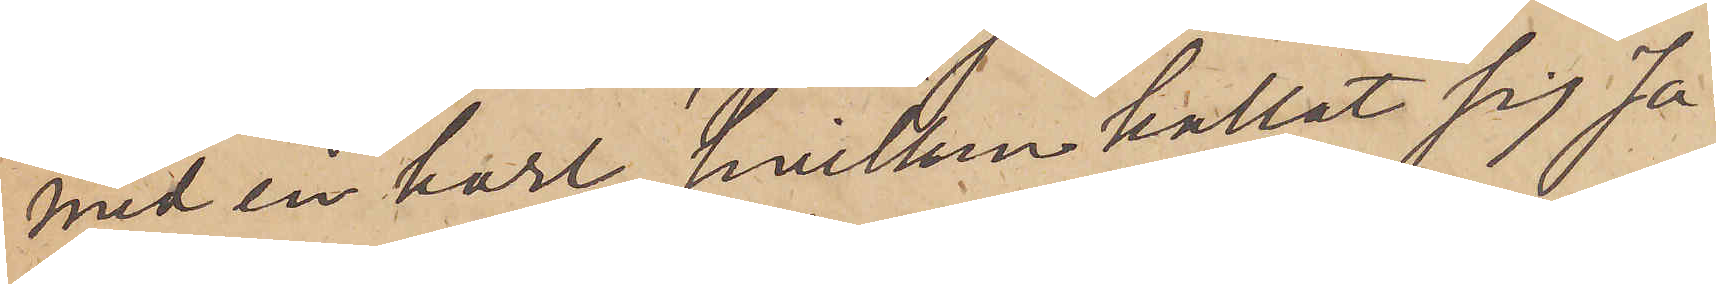med en karl, hvilken kallat sig Ja¬
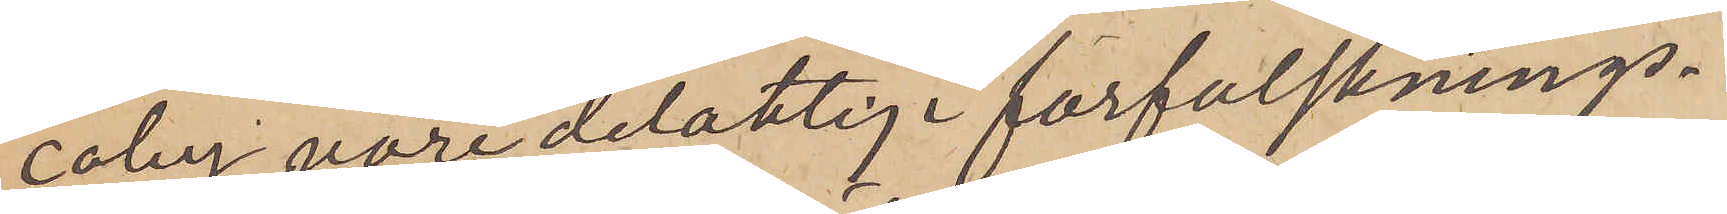coby, vore delaktig i förfalsknings¬
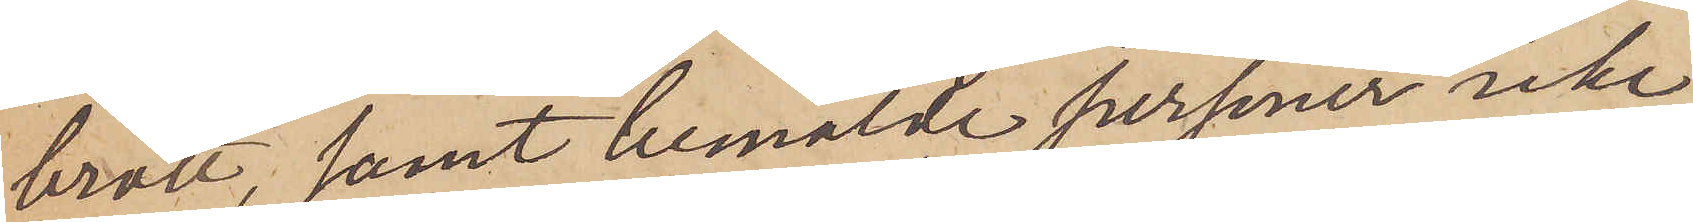brott, samt bemälde personer icke
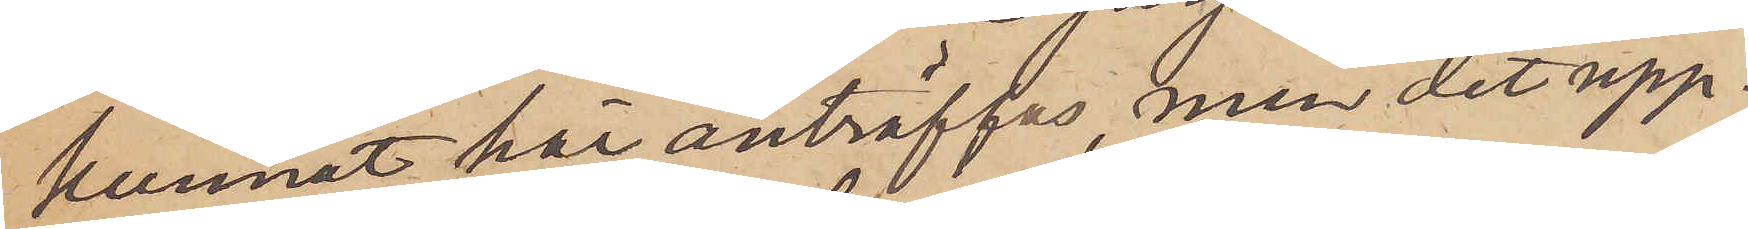kunnat här anträffas, men det upp¬
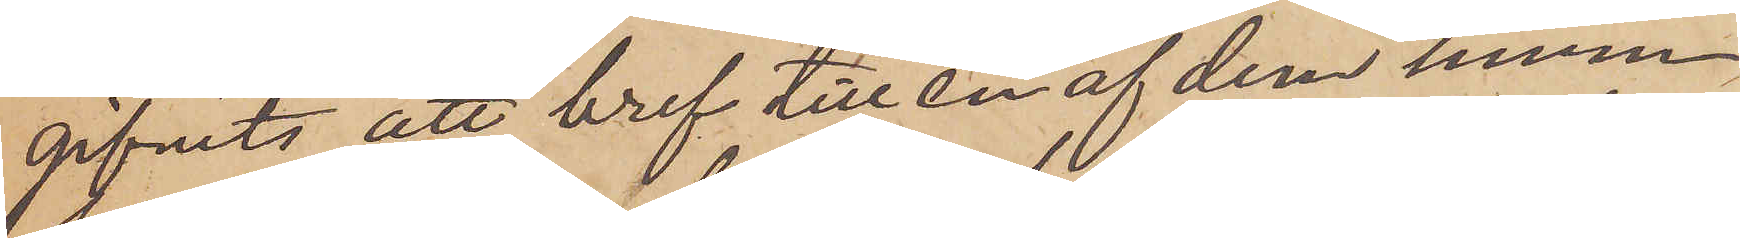gifvits, att bref till en af dem inom
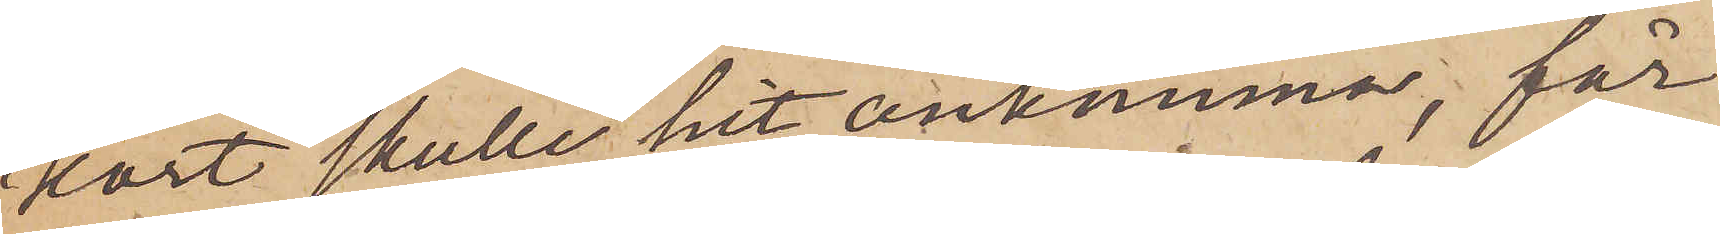kort skulle hit ankomma, får
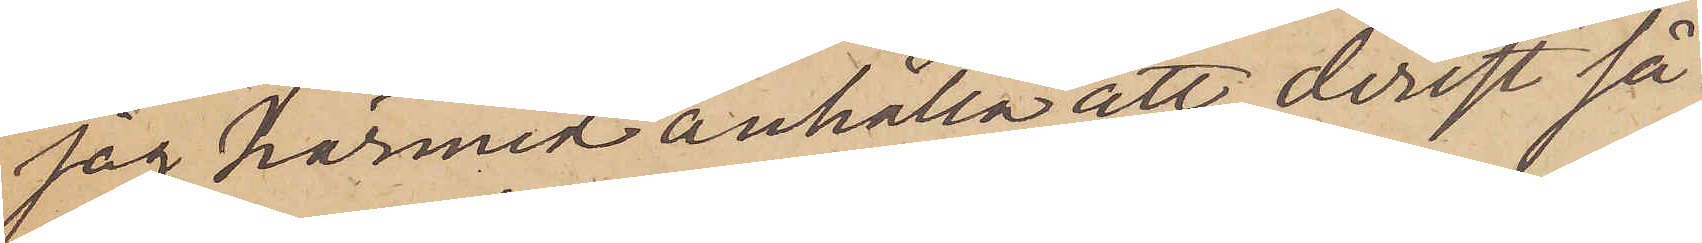jag härmed anhålla att, derest så
